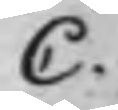C.
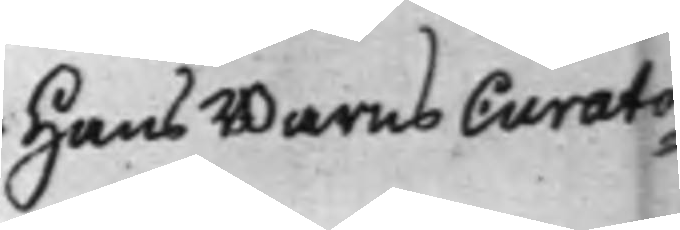Hans Barns Curato¬
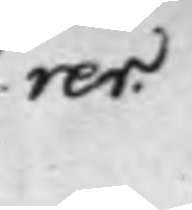rer.
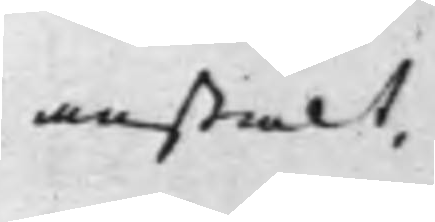anstalt,
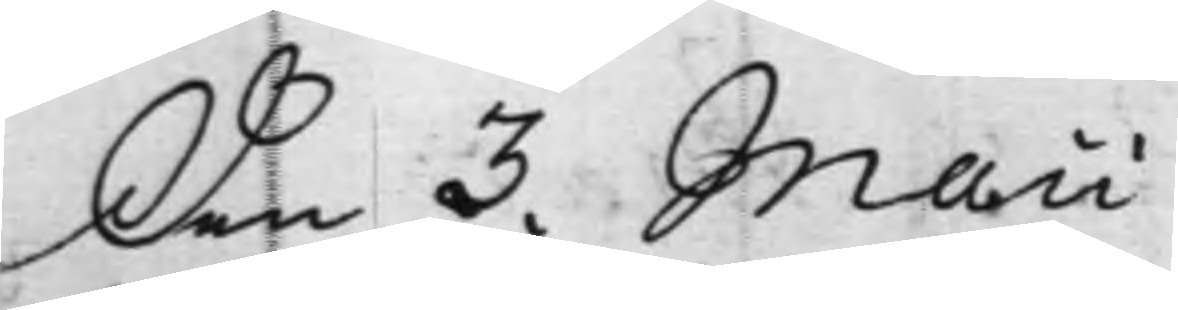Den 3. Maii
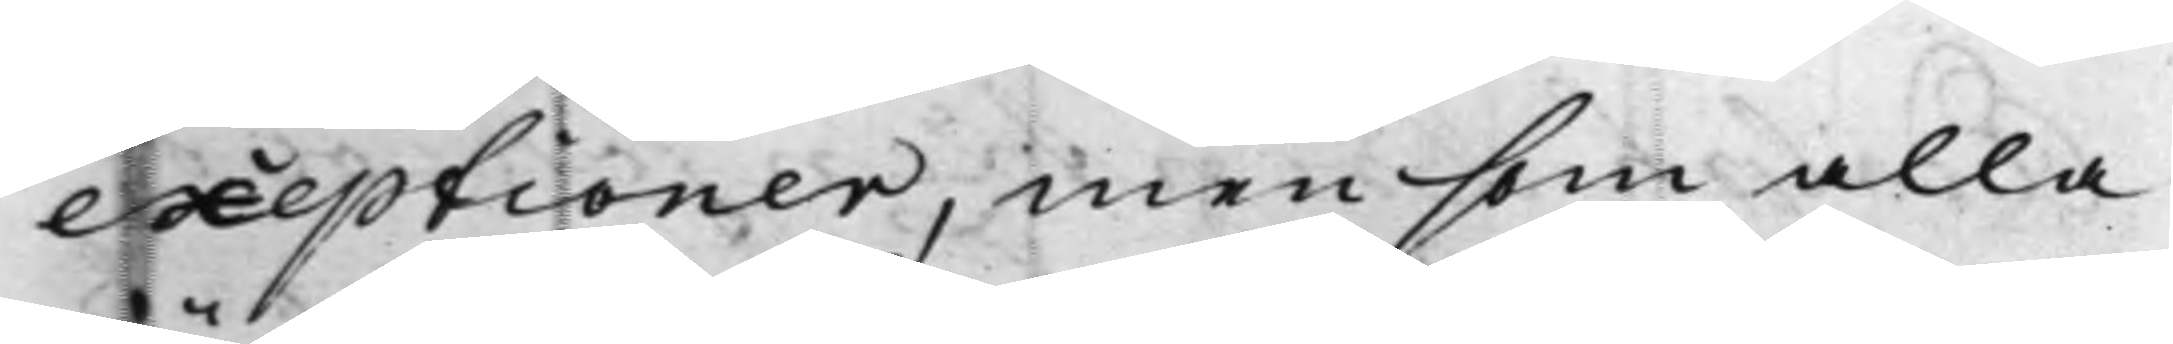exeptioner, men som alla
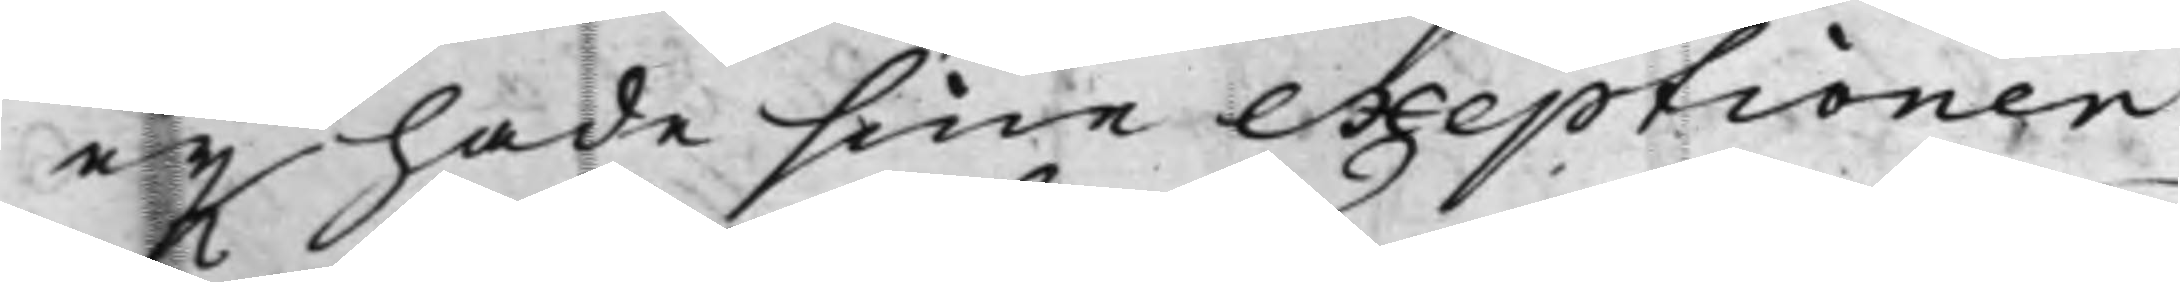eij hade sine exeptioner
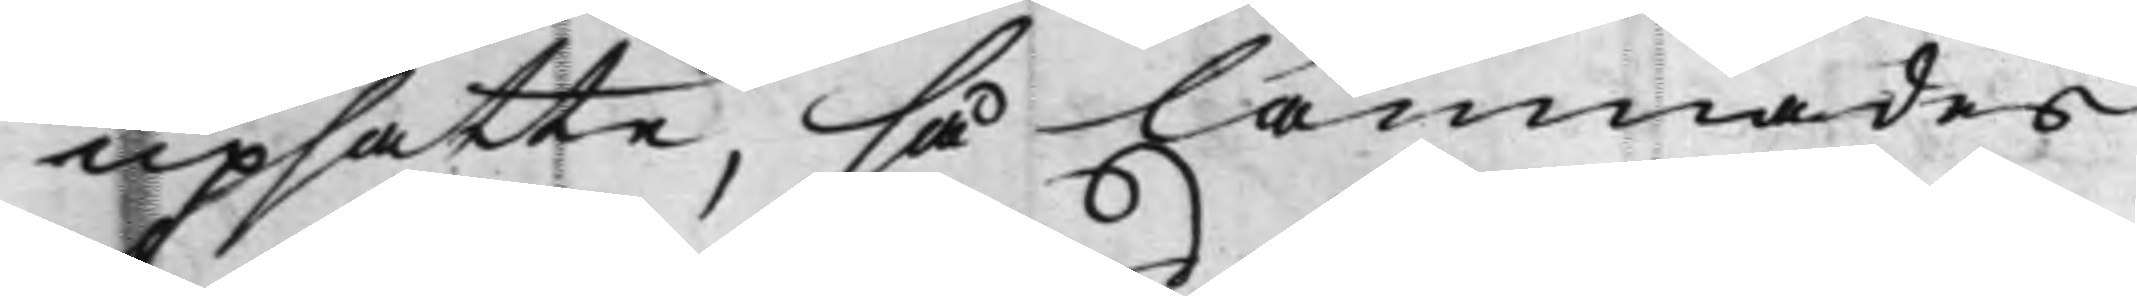upsatte, så lämnades
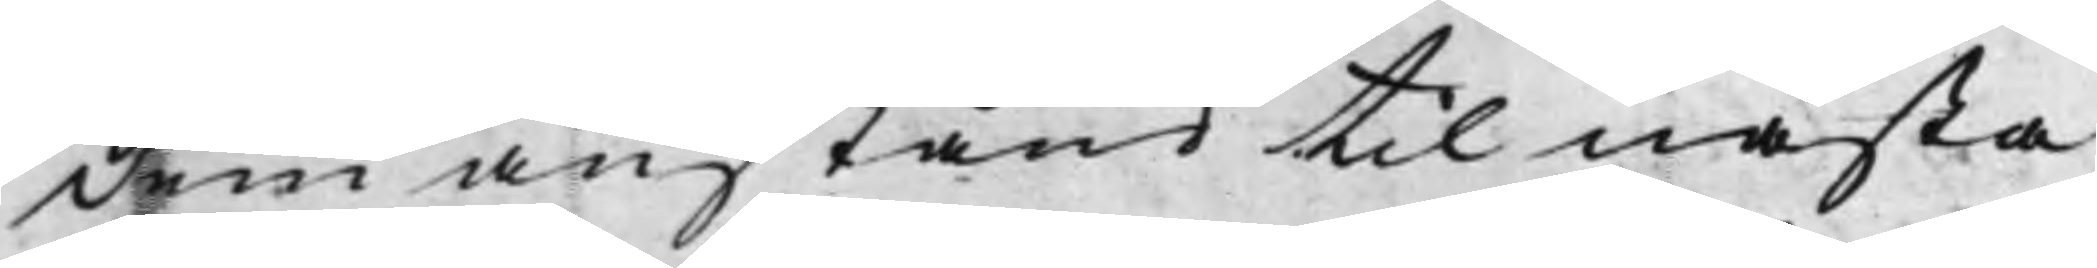dem anstånd til nästa
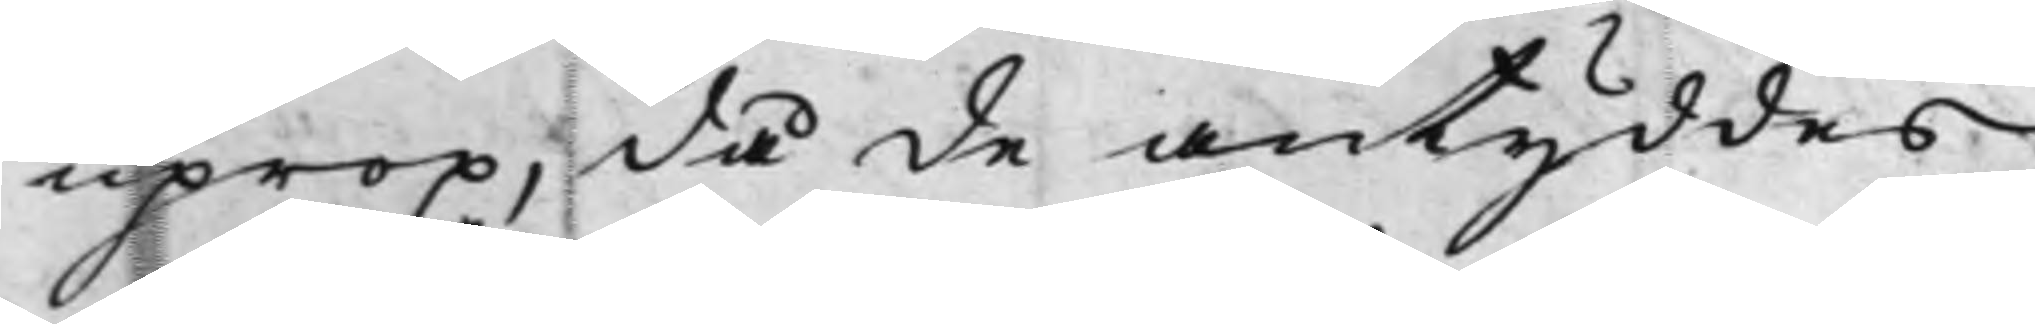uprop, då de antyddes
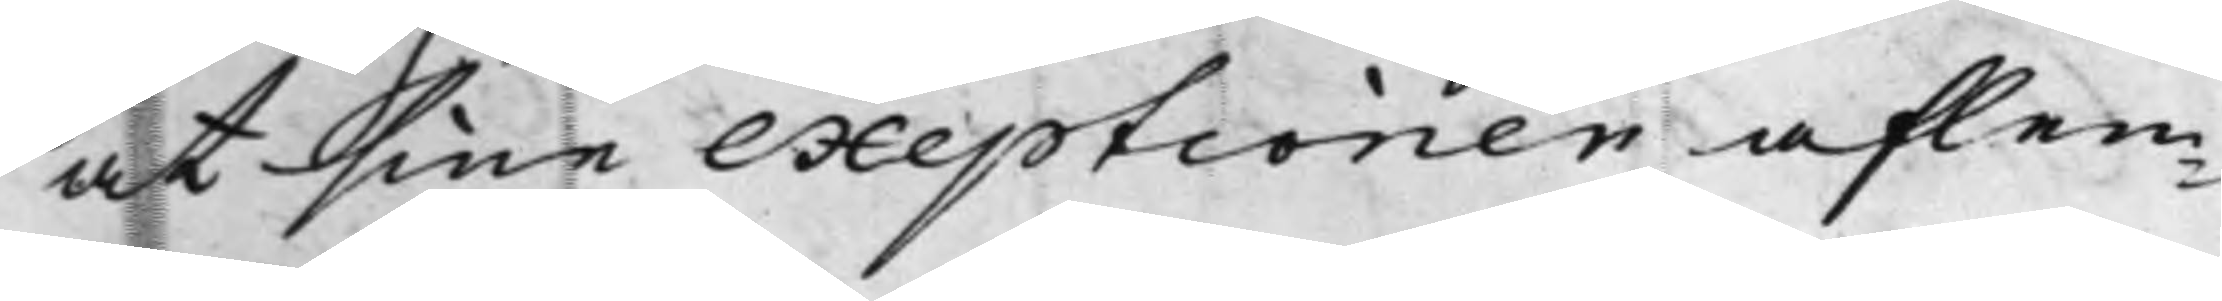at sine exeptioner aflem¬
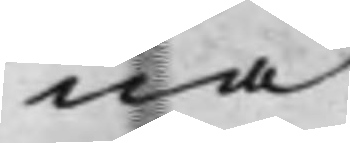na.
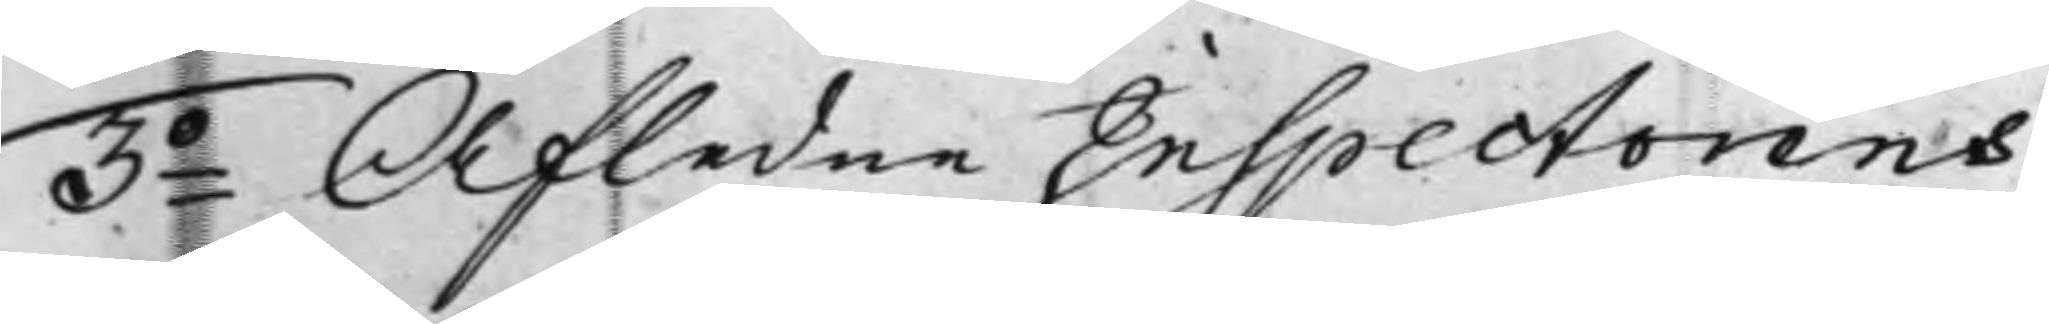3o Afledne Inspectorens
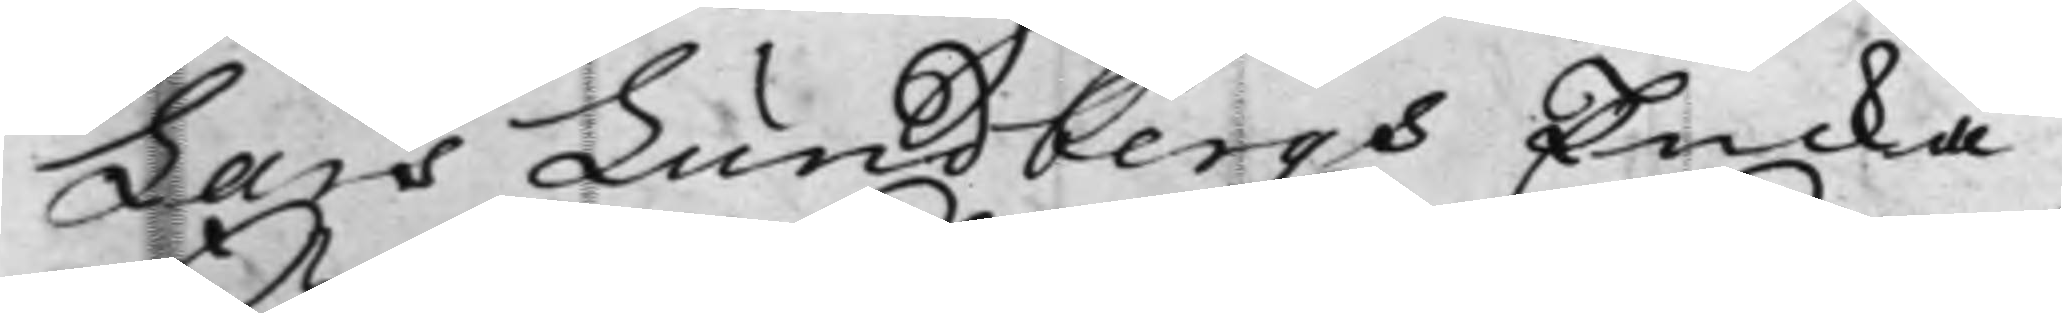Lars Lundbergs Encka
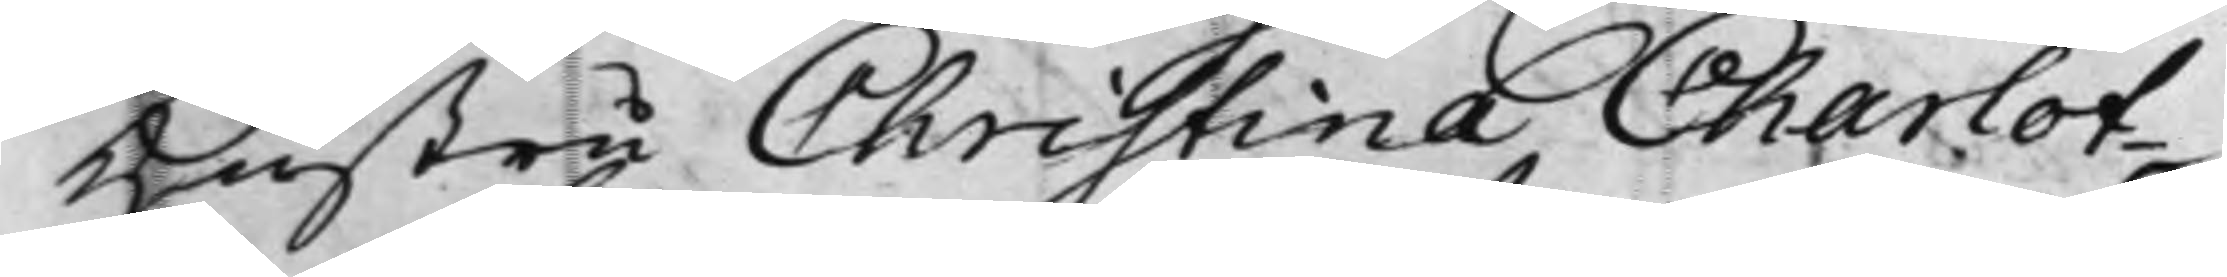Hustru Christina Charlot¬
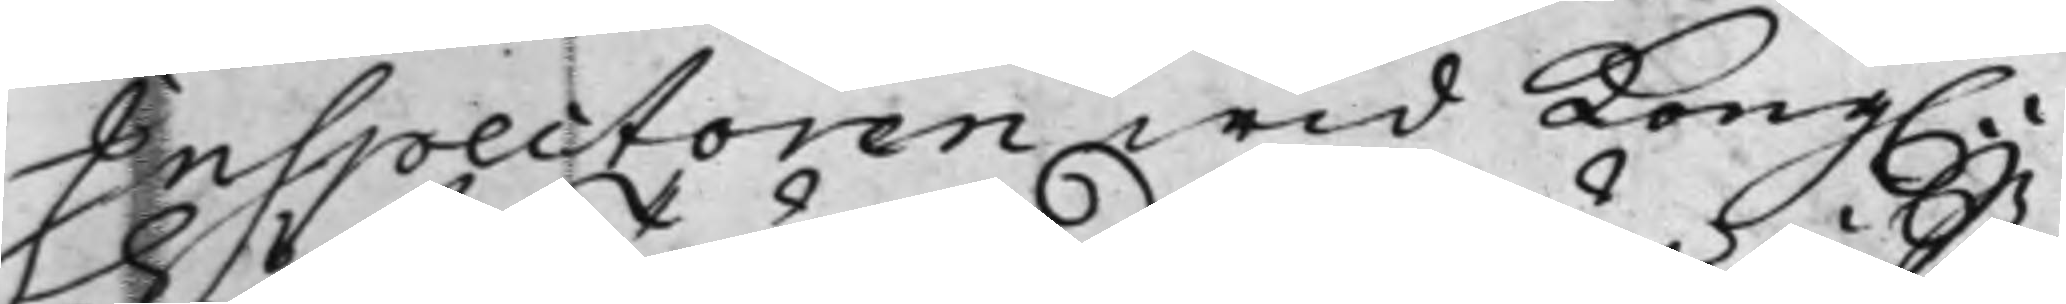Inspectoren wid Kong.e
